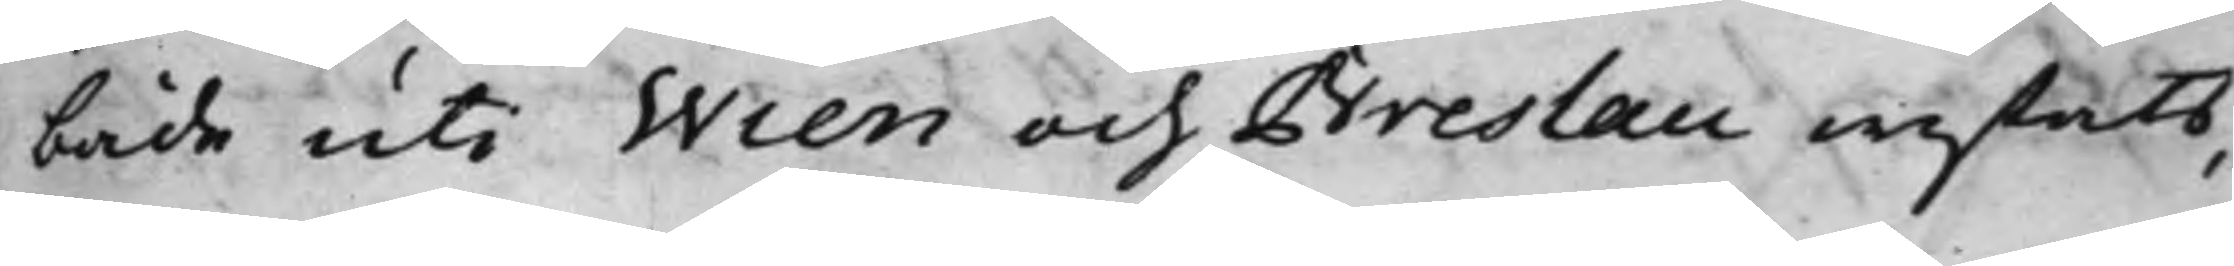både uti Wien och Breslau wistats,
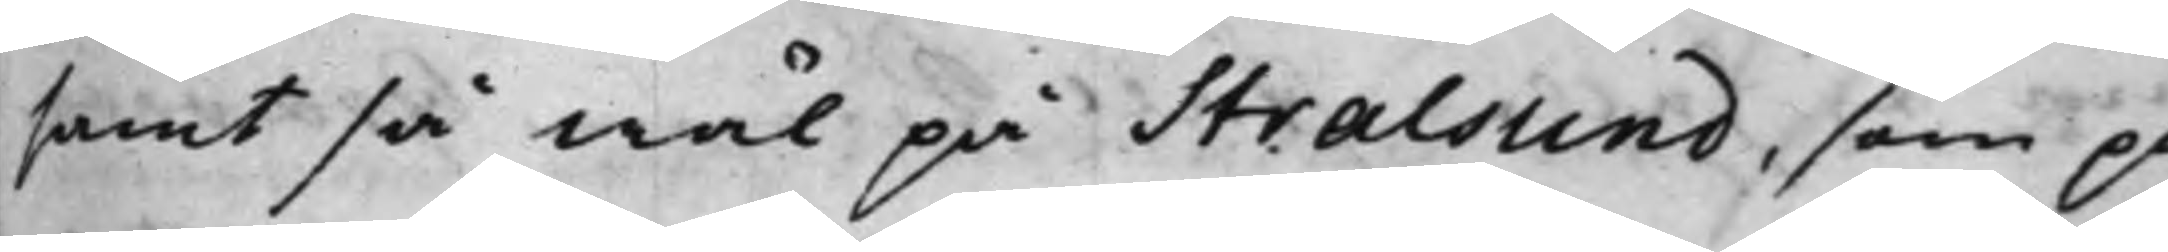samt så wäl på Stralsund, som på
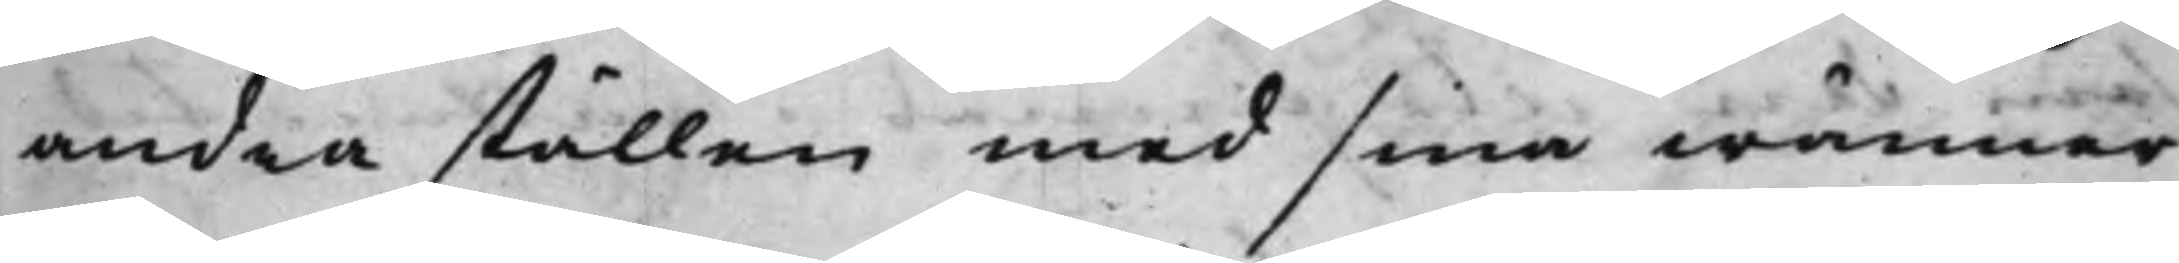andra ställen med sina wänner
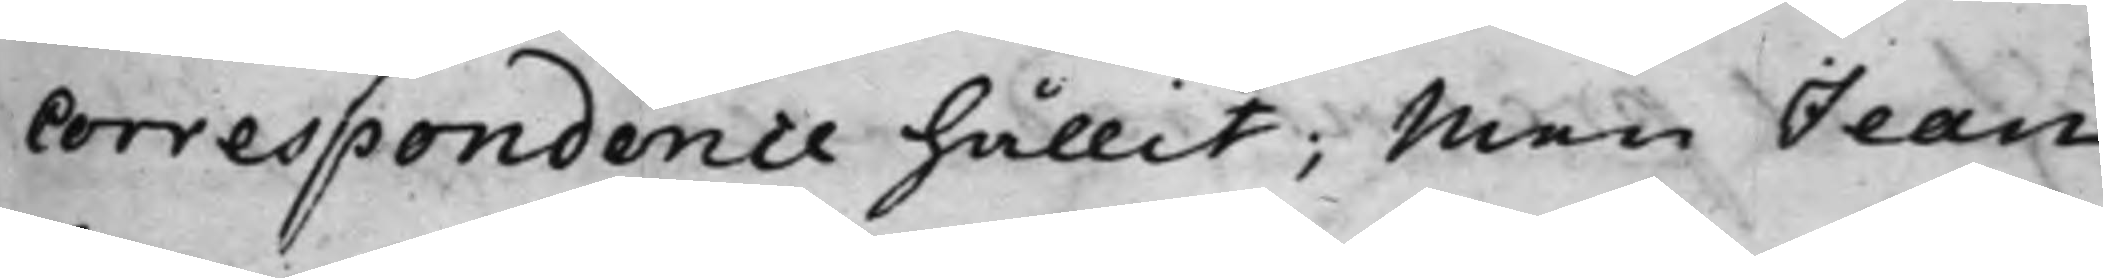Correspondence hållit; Men Jean
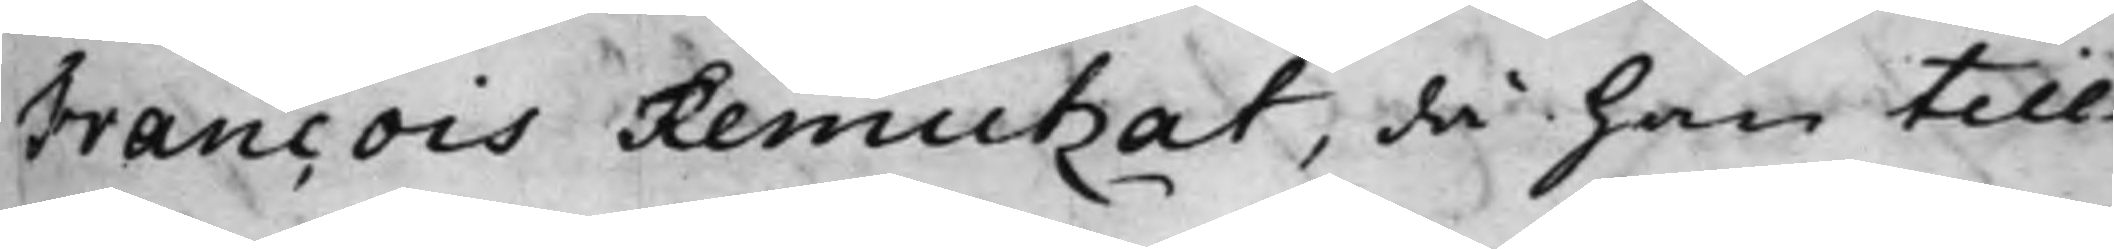Francois Remutzat, då han tilli¬
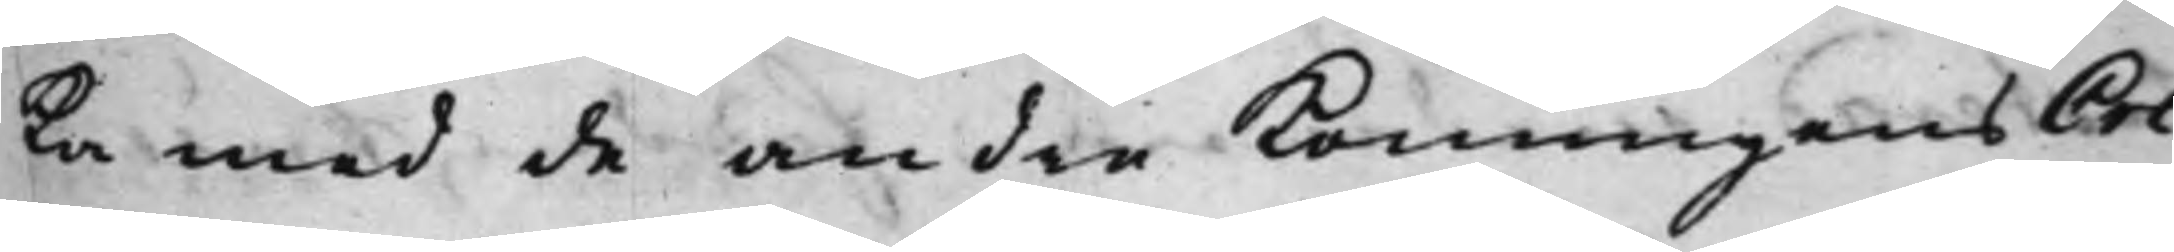ka med de andra Konungens Cre¬
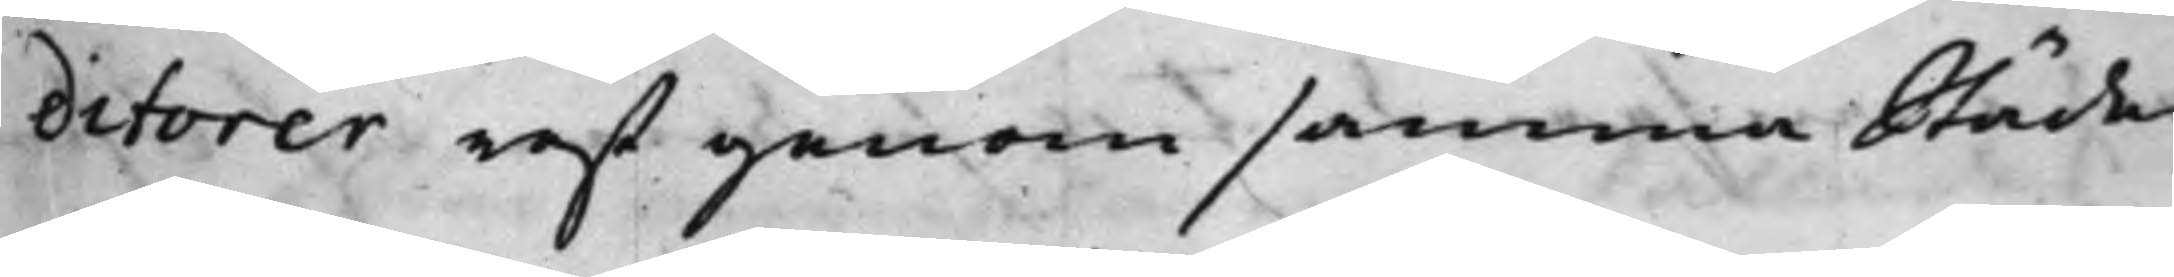ditorer rest genom samma Städer,
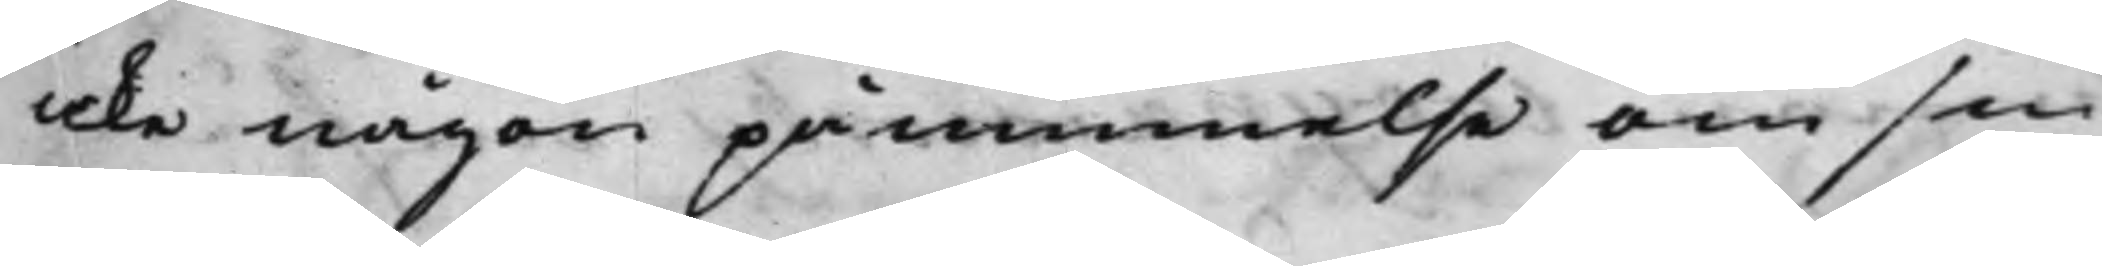icke någon påminelse om sin
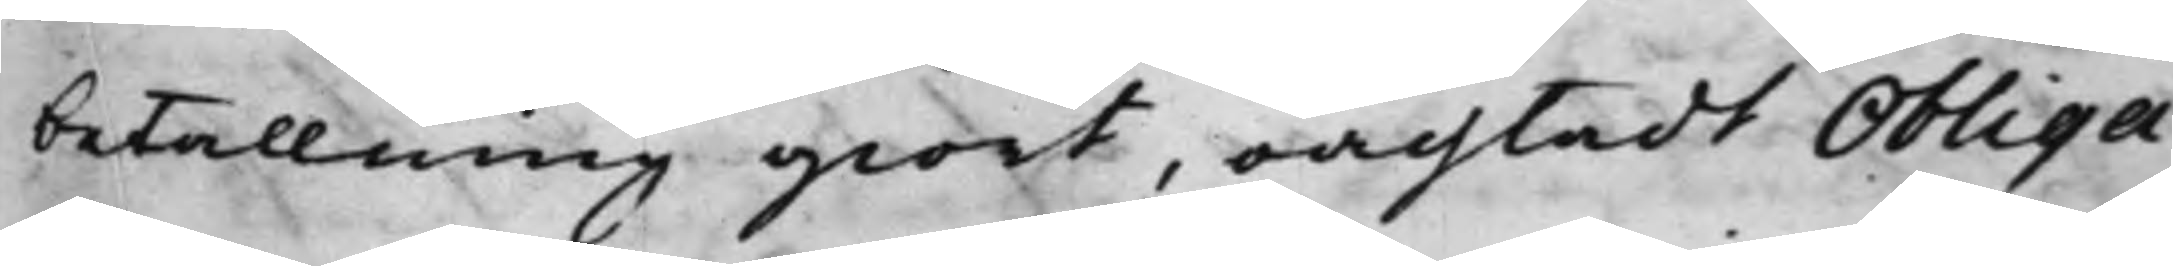betallning giort, oachtadt Obliga¬
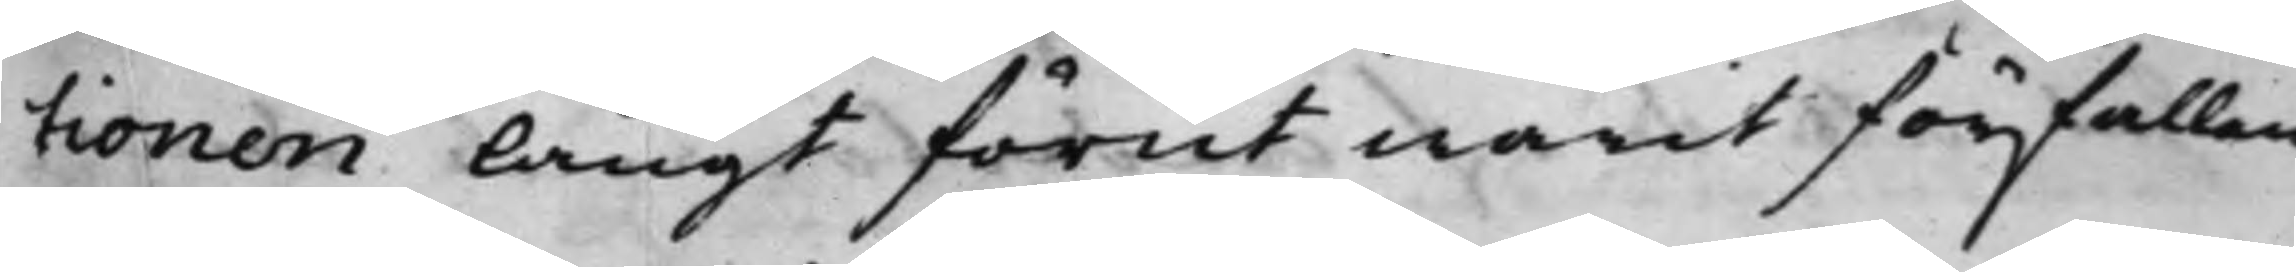tionen Långt förut warit förfallen,
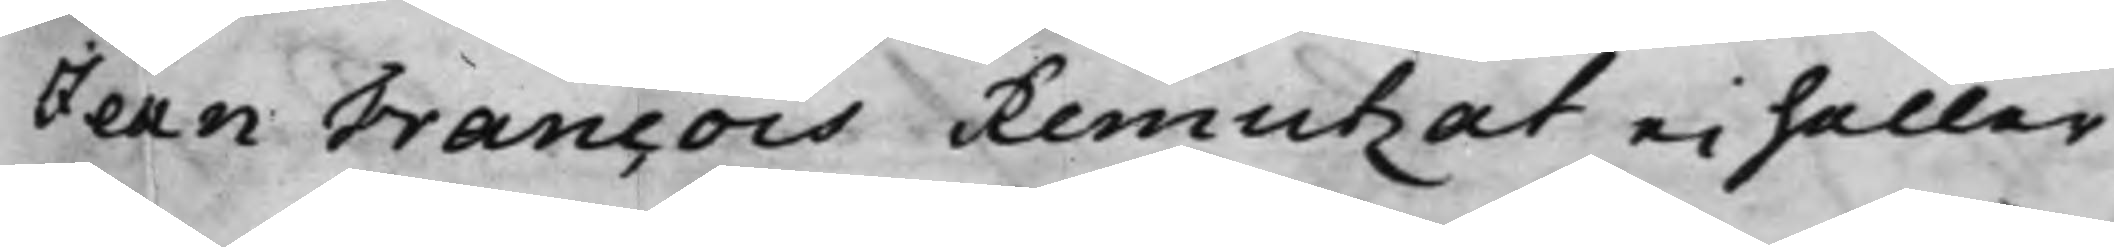Jean Francois Remutzat ei heller
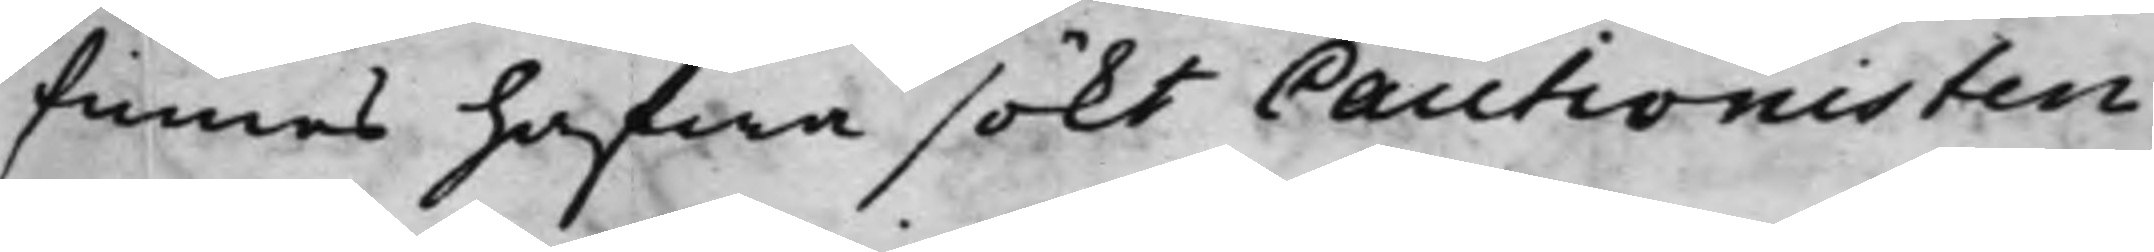finnes hafwa sökt Cautionisten
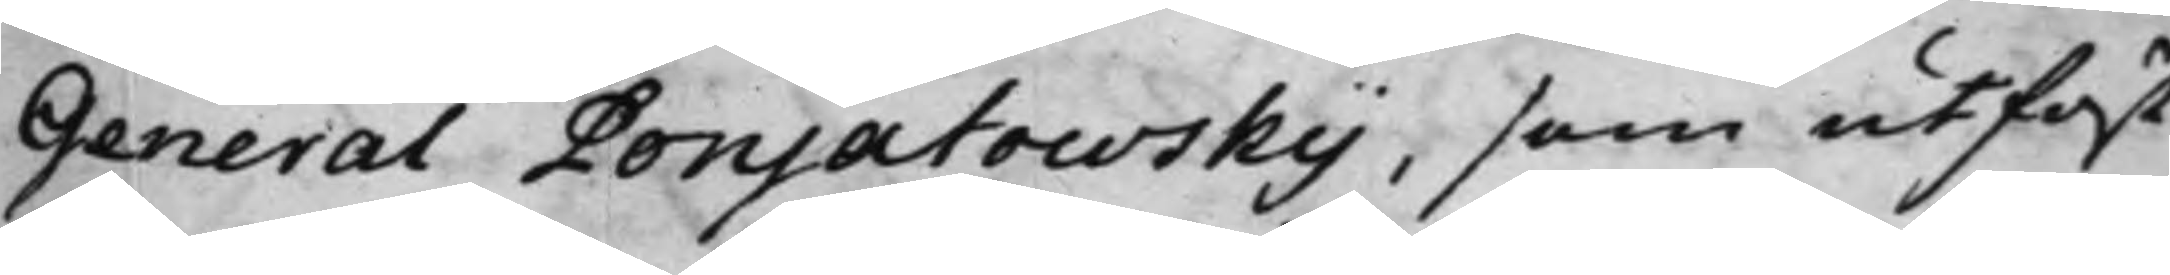General Ponjatowsky, som utfäst
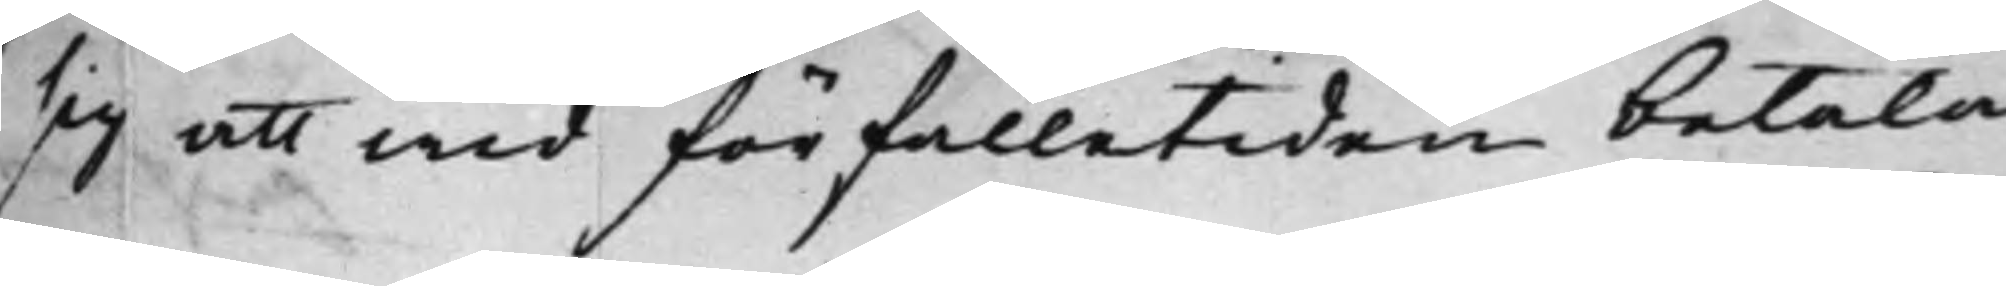sig att wid förfalletiden betala
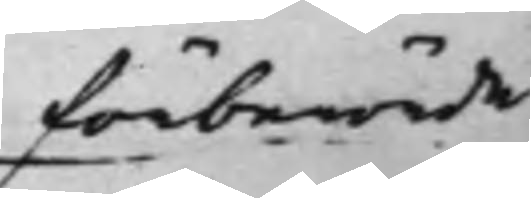förberörde
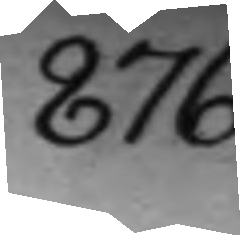876.
